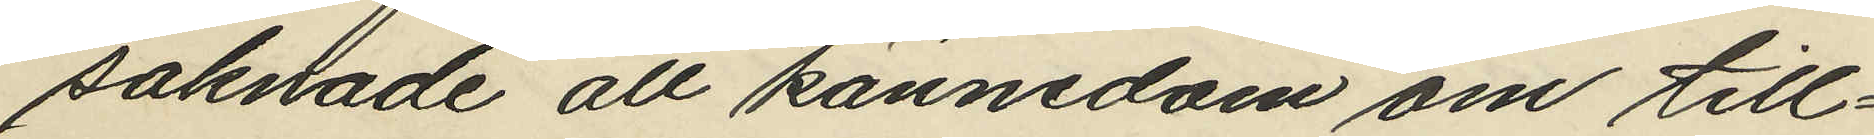saknade all kännedom om till¬
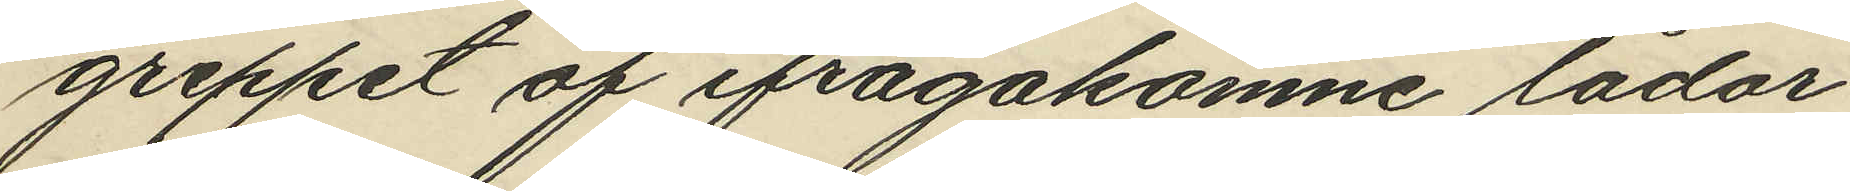greppet af ifrågakomne lådor
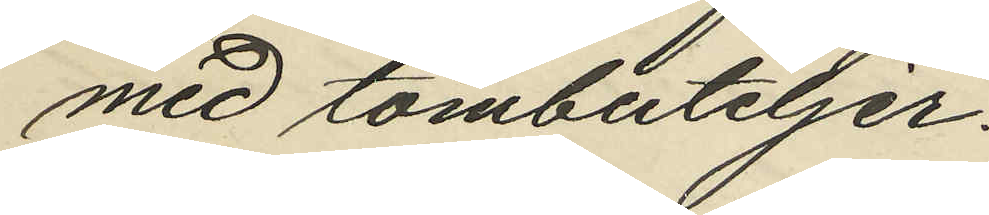med tombuteljer.
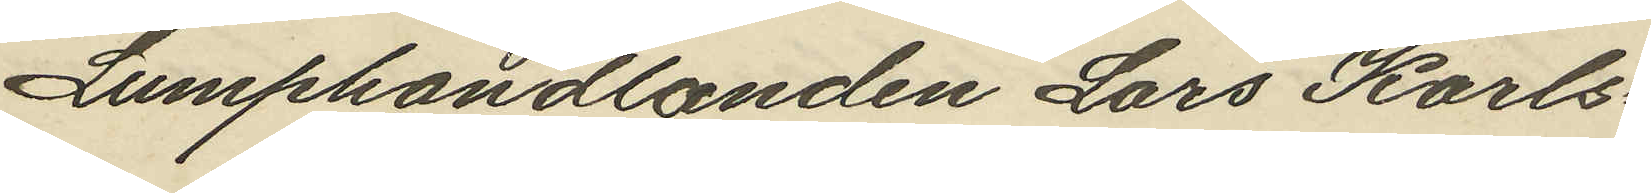Lumphandlanden Lars Karls¬
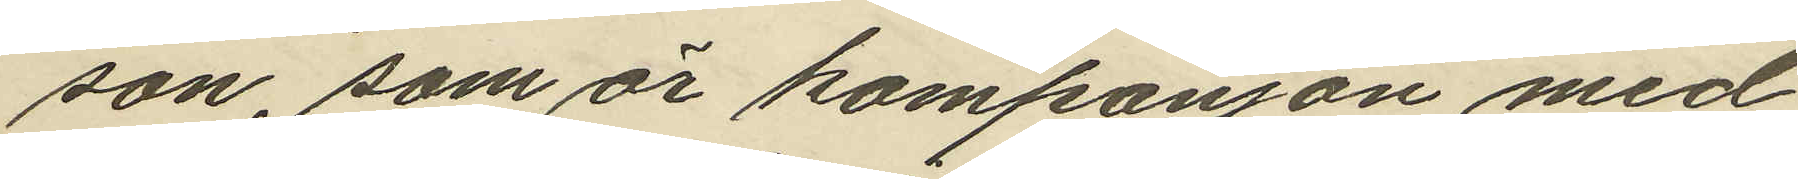son, som är kompanjon med
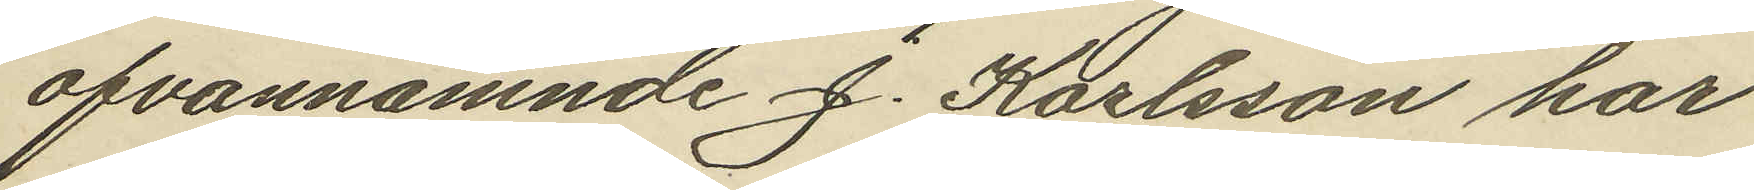ofvannämnde J. Karlsson har
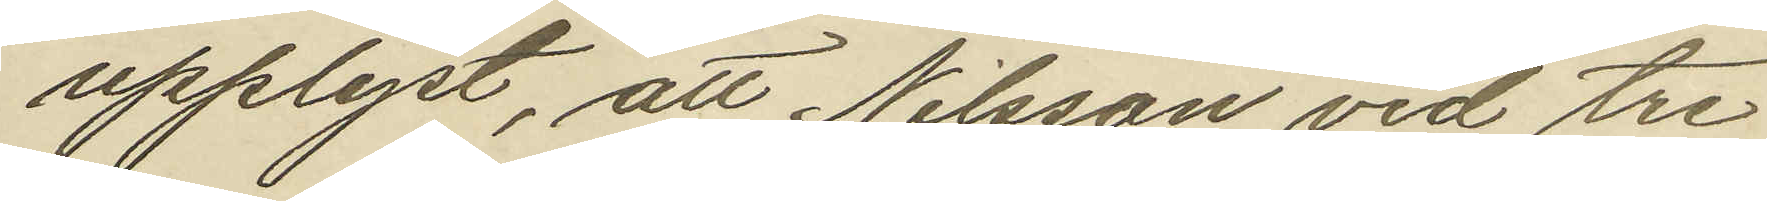upplyst, att Nilsson vid tre
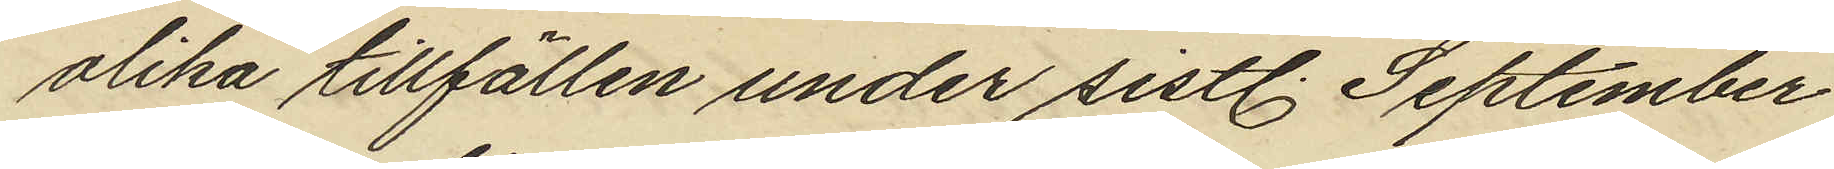olika tillfällen under sistl. September
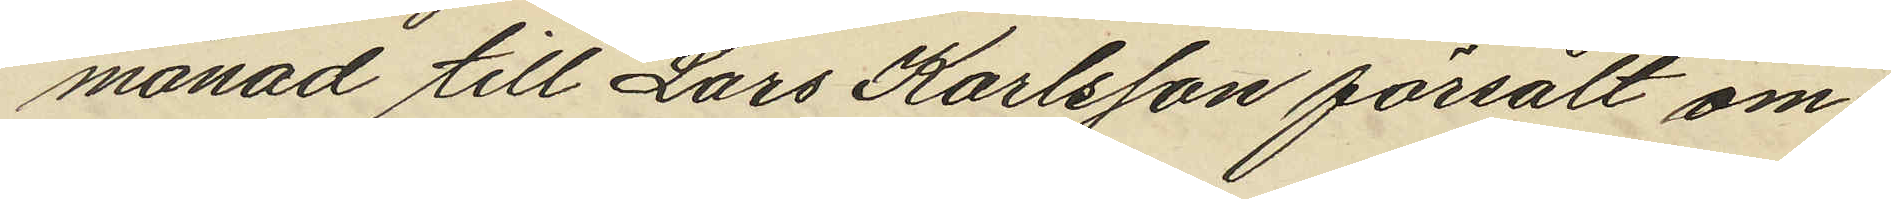månad till Lars Karlsson försålt om¬
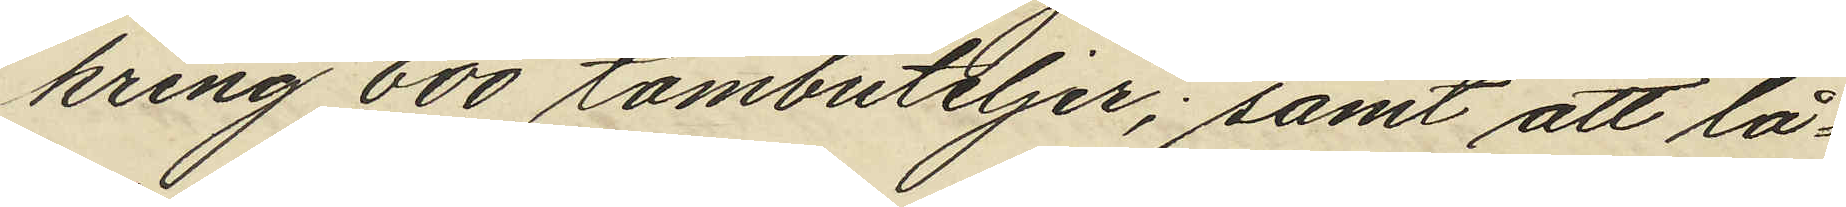kring 600 tombuteljer; samt att lå¬
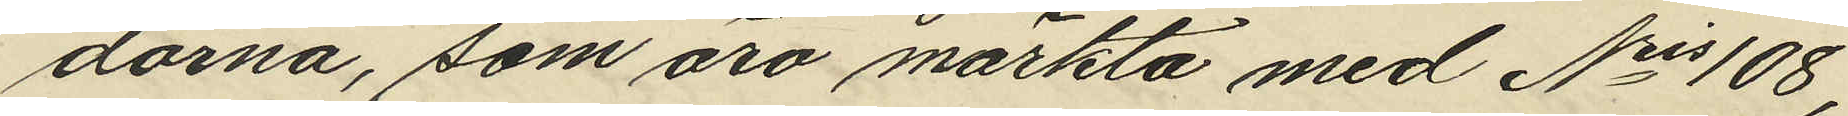dorna, som äro märkta med Nris 108,
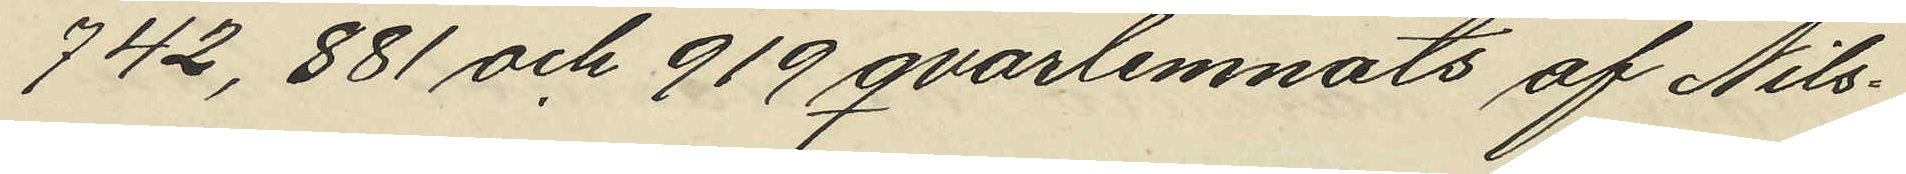742, 881 och 919 qvarlemnats af Nils¬
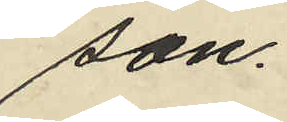son.
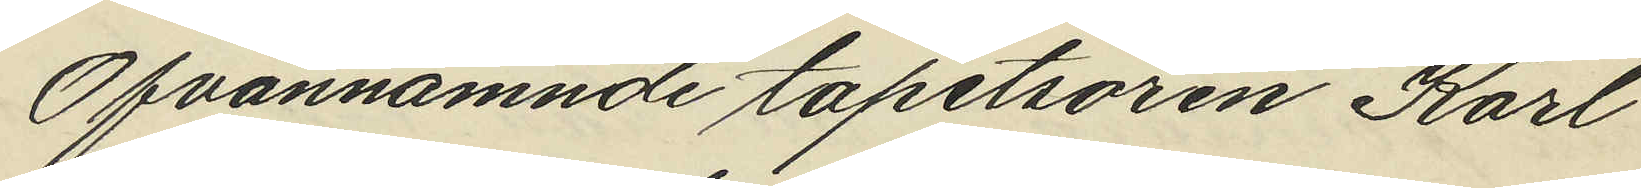Ofvannämnde tapetsören Karl
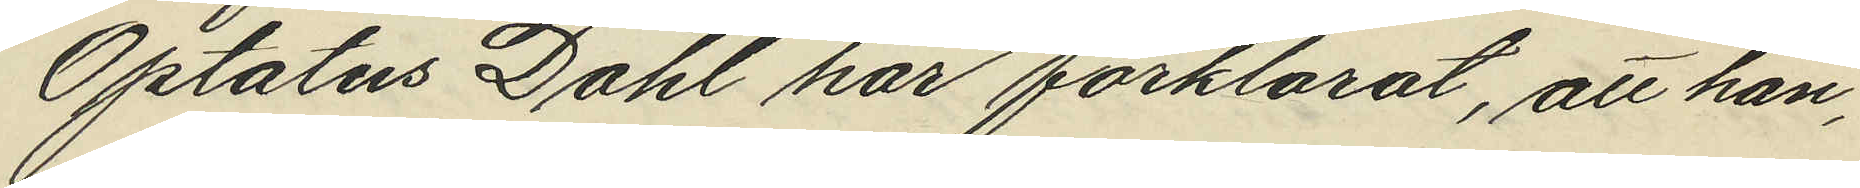Optatus Dahl har förklarat, att han,
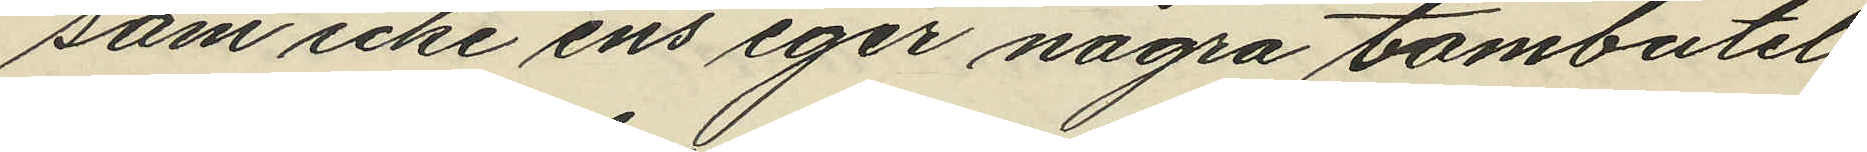som icke ens eger några tombutel
